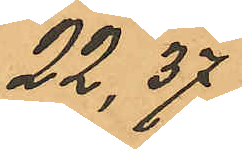22,37
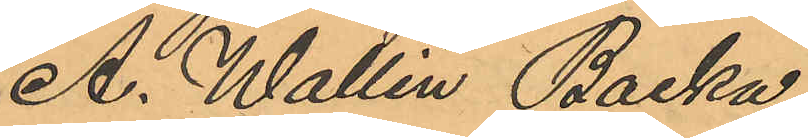A. Wallin Backa
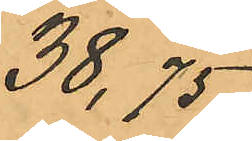38,75
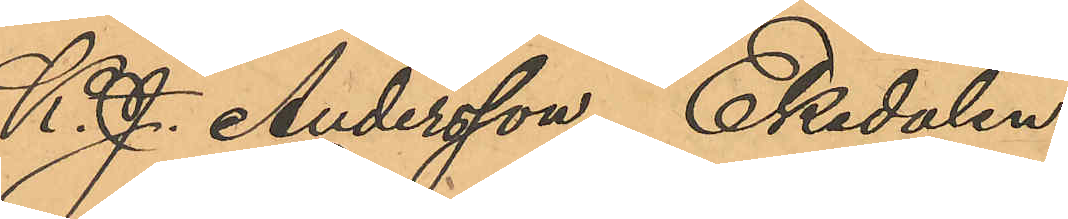K. J. Andersson, Ekedalen
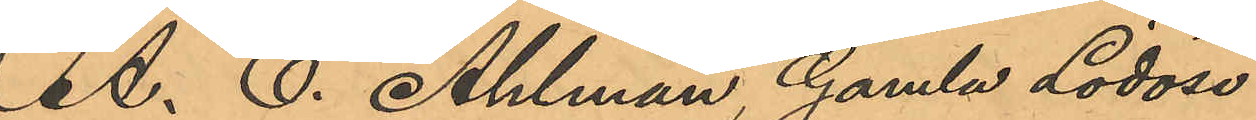A. E. Ahlman, Gamla Lödöse
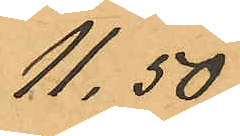11,50
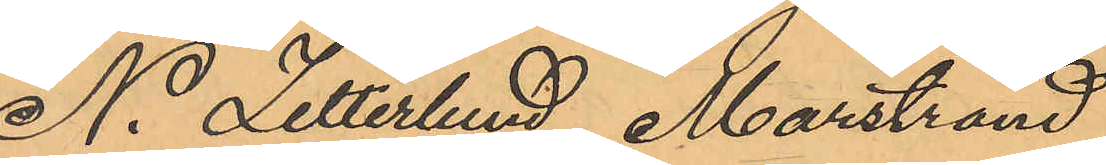N. Zetterlund, Marstrand
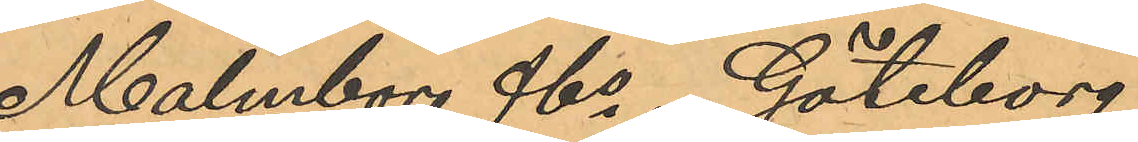Malmborg &Co, Göteborg
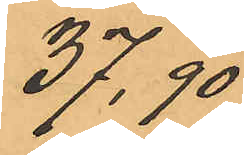37,90
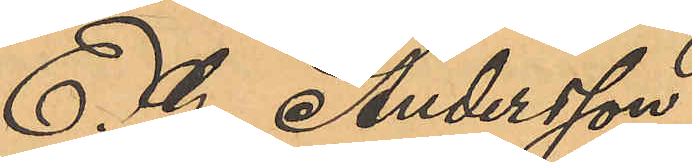E. G. Andersson
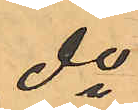do
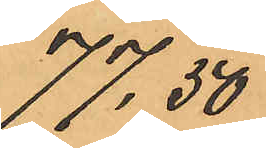77,50
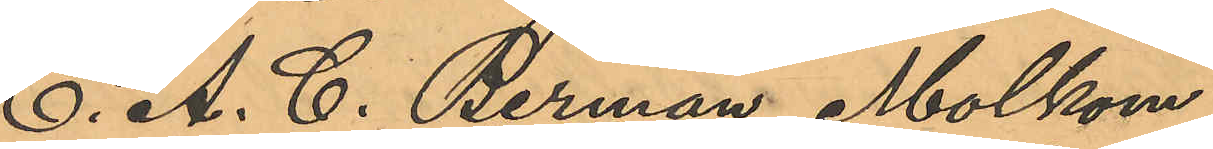E. A. C. Berman, Molkom
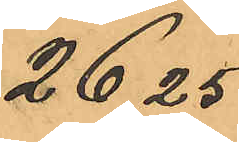26,25
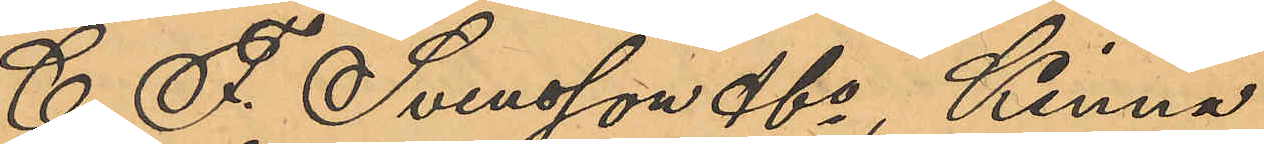C. F. Svensson &Co, Kinna
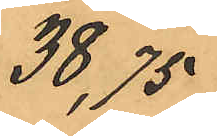38,75
